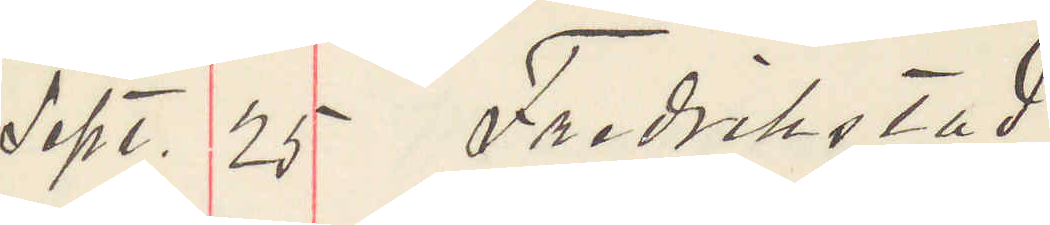Sept. 25 Fredrikstad.
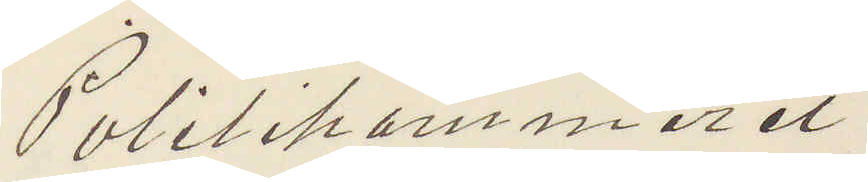Politikammeret
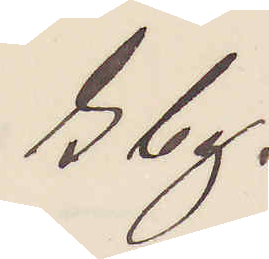Gbg.
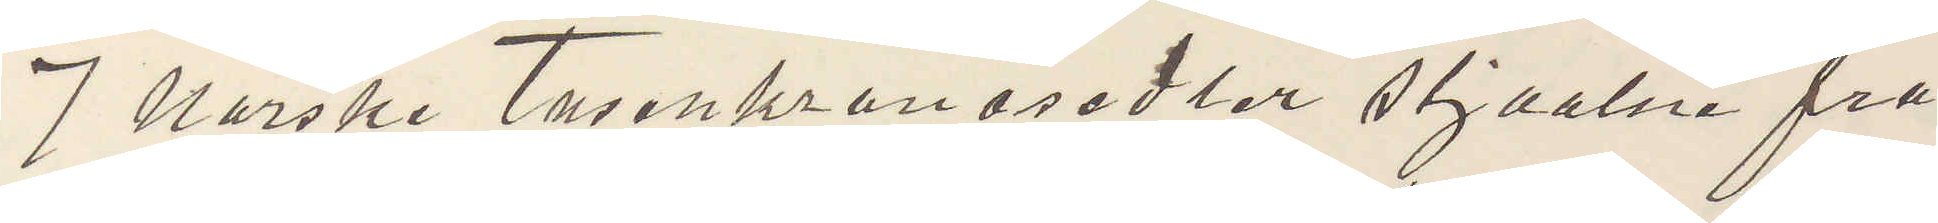7 Norske Tusenkronosedlar stjaalne fra
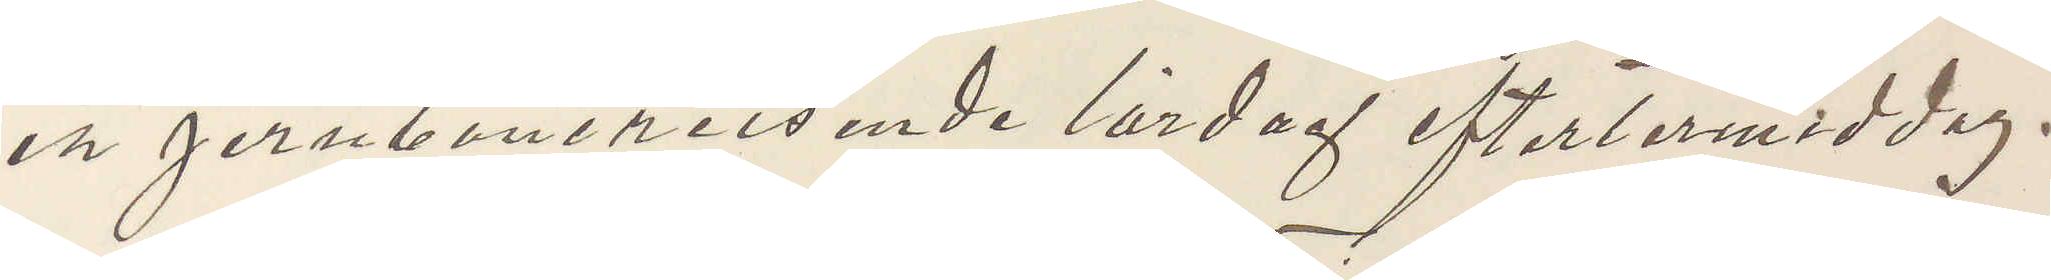en Jernbanereisende lördag eftermiddag.
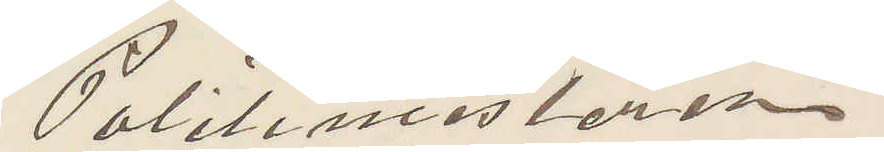Politimesteren
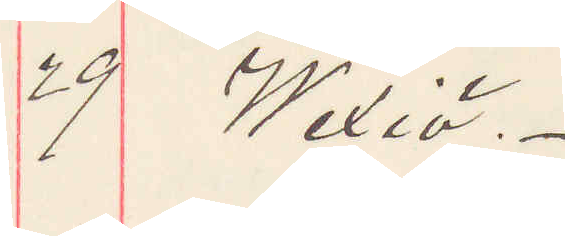29 Wexiö.
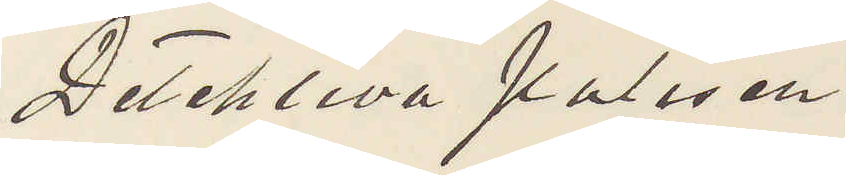Detektiva Polisen
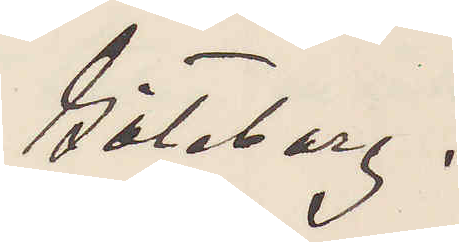Göteborg.
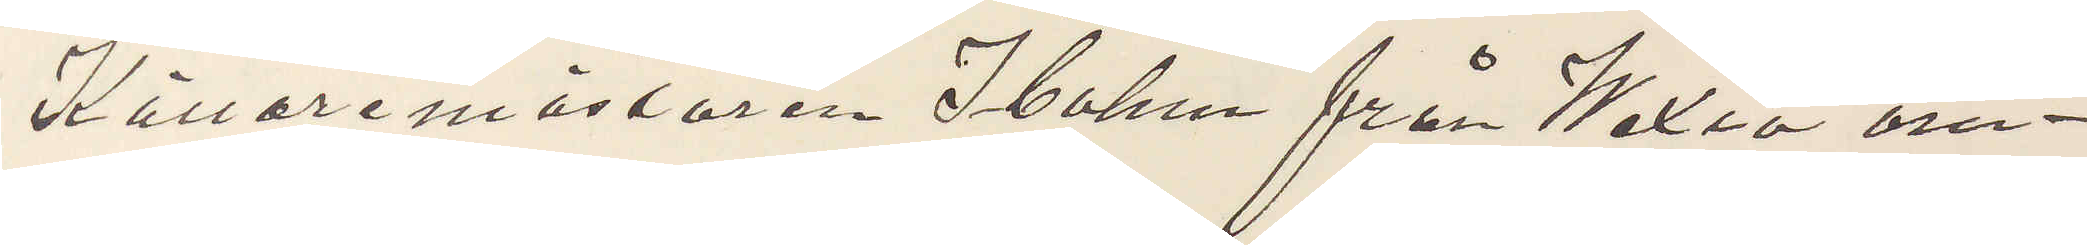Källaremästaren Ibohm från Wexiö om¬
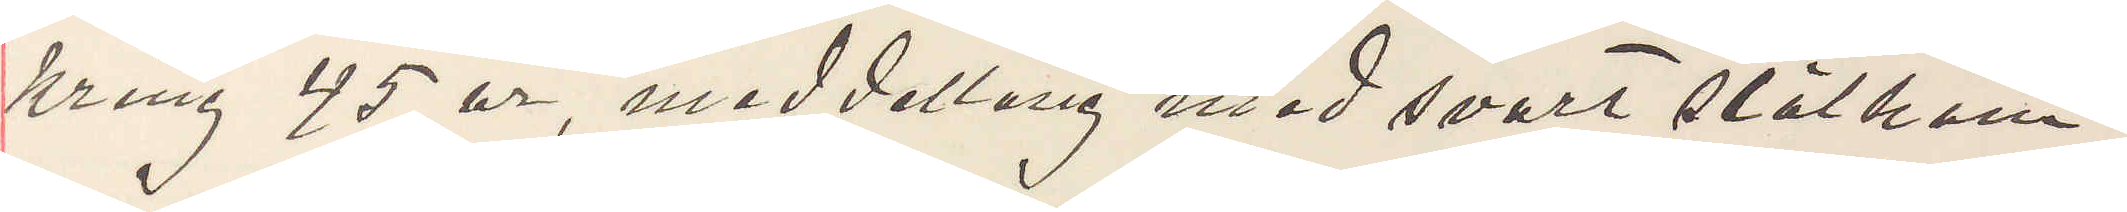kring 45 år, meddellång med svart slätkam¬
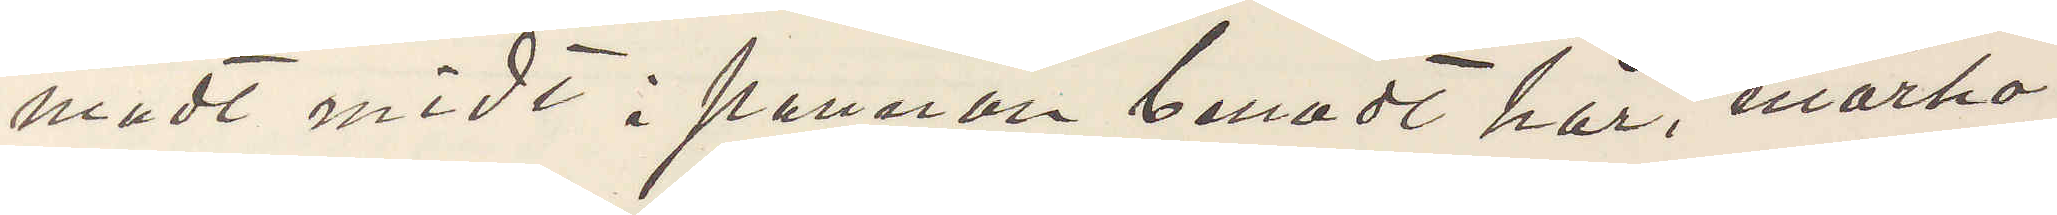madt midt i pannan benadt hår, mörka
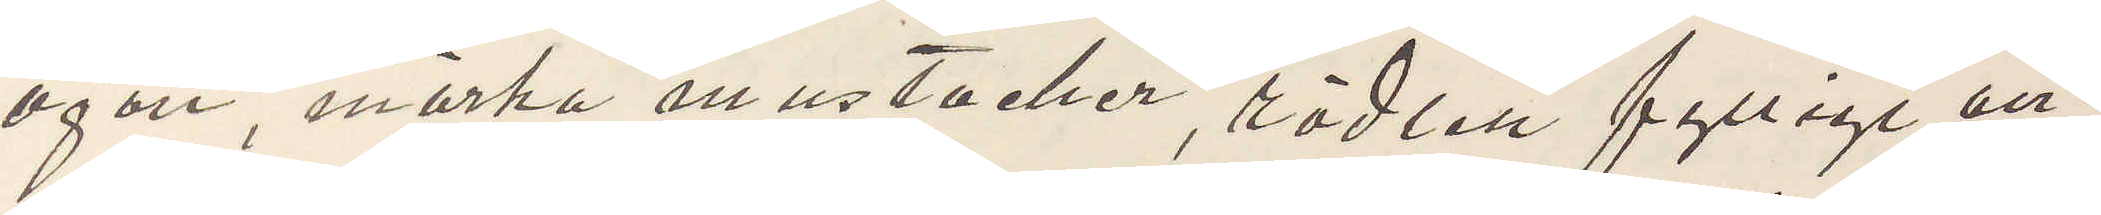ögon, mörka mustacher, rödlett fylligt an¬
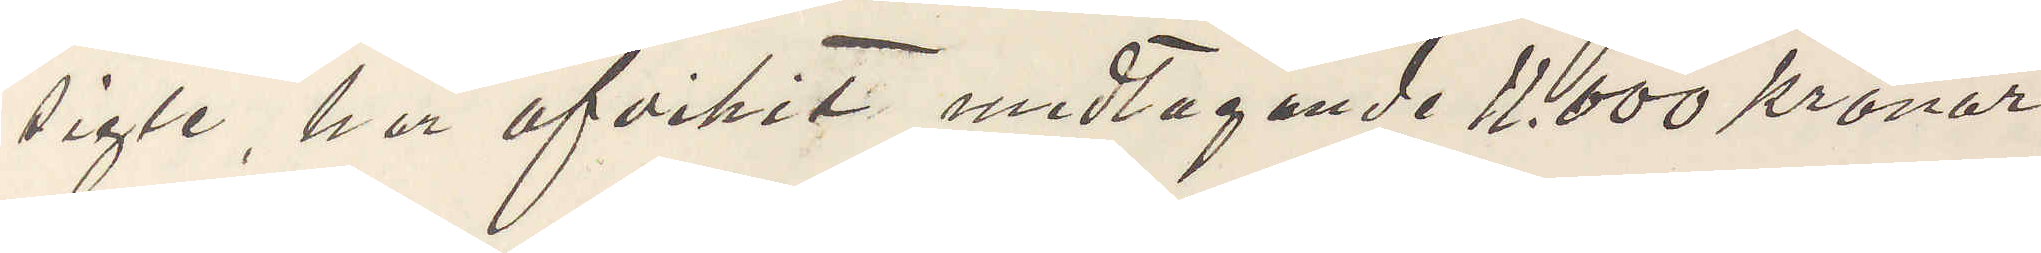sigte, har afvikit medtagande 11.000 kronor
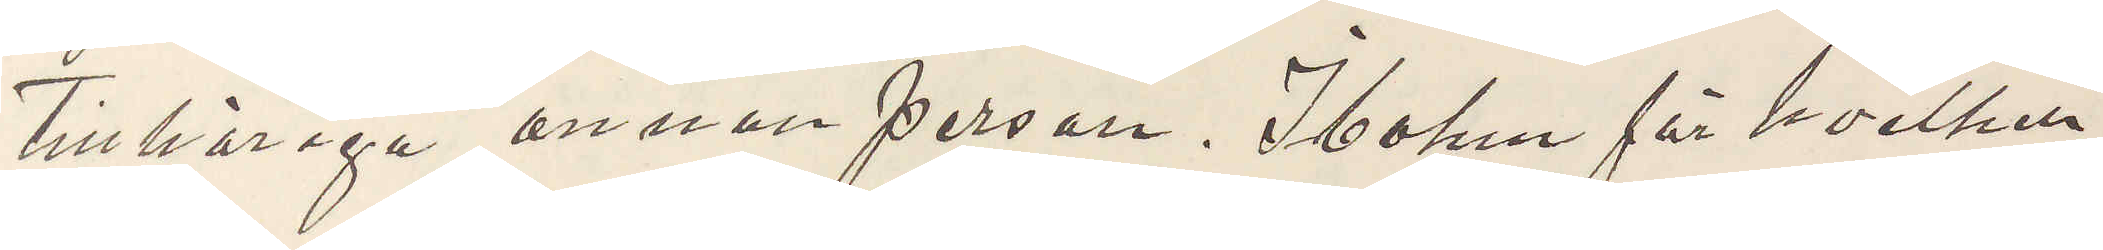Tillhöriga annan person. Ibohm för hvilken
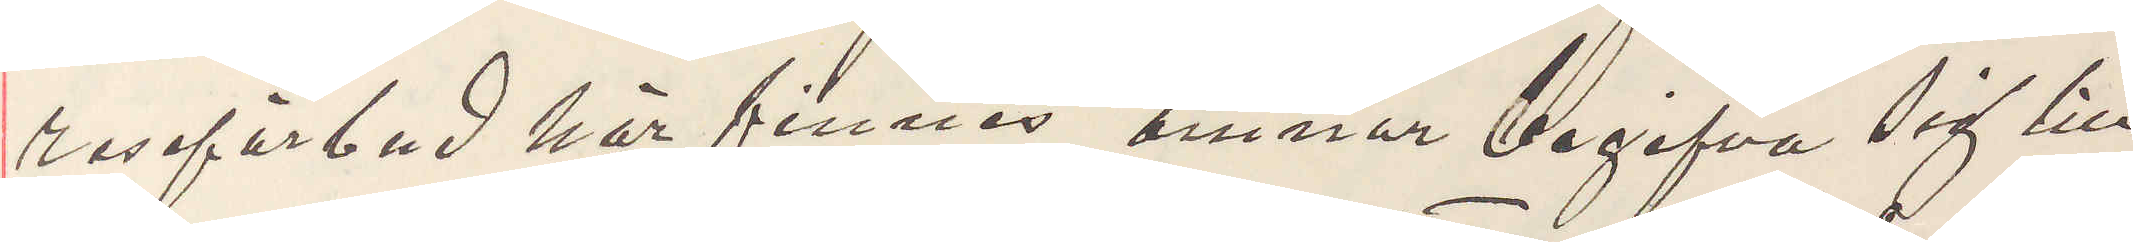reseförbud här finnas ämnar begifva sig till
